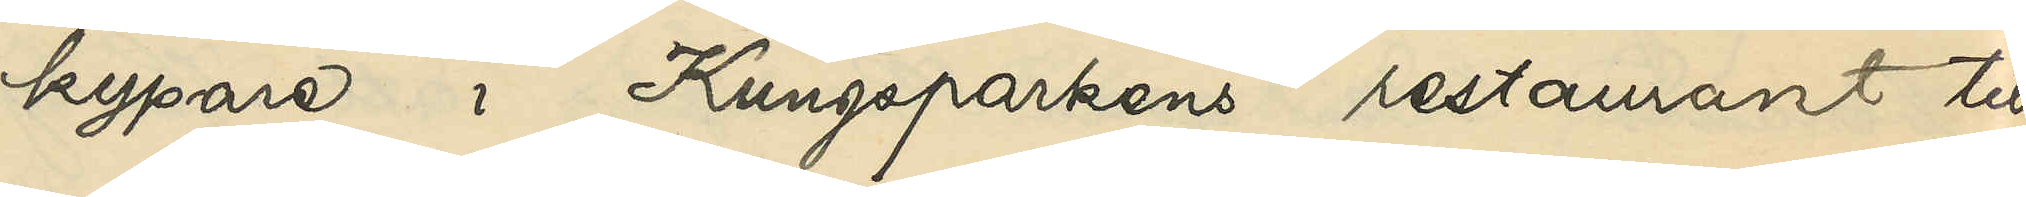kypare i Kungsparkens restaurant till
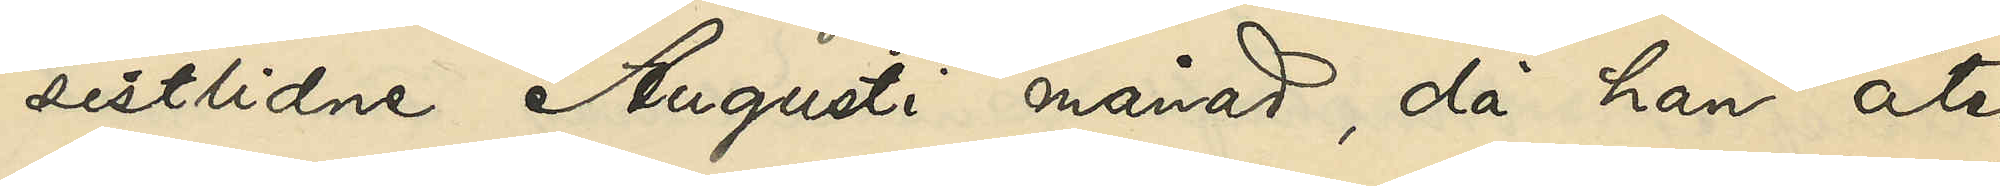sistlidne Augusti månad, då han åter
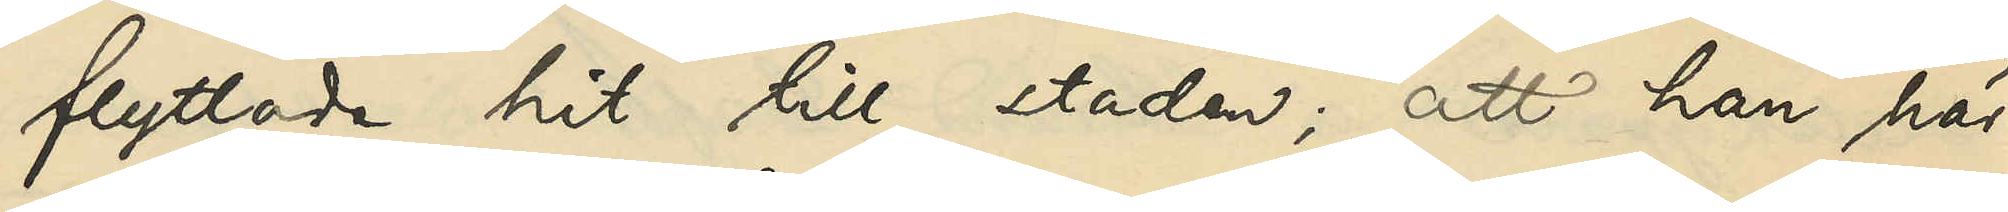flyttade hit till staden; att han här
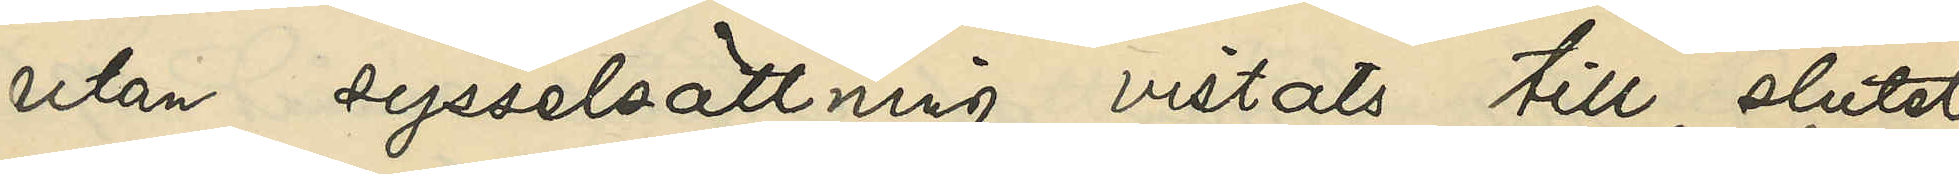utan sysselsättning vistats till slutet
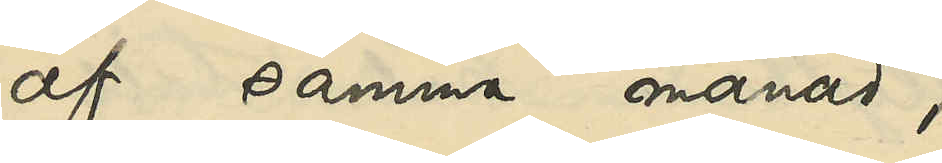af samma månad,
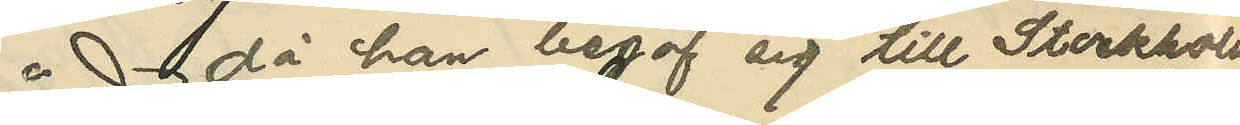då han begaf sig till Stockholm
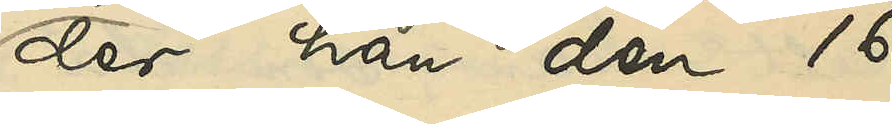der han den 16
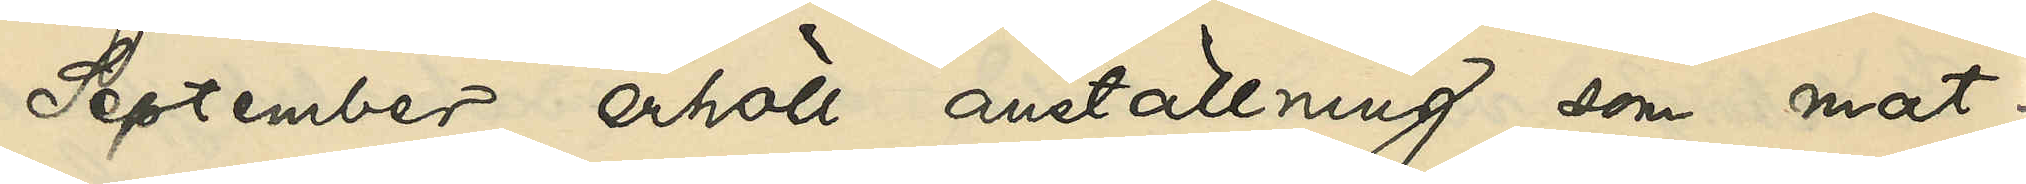September erhöll anställning som mat¬
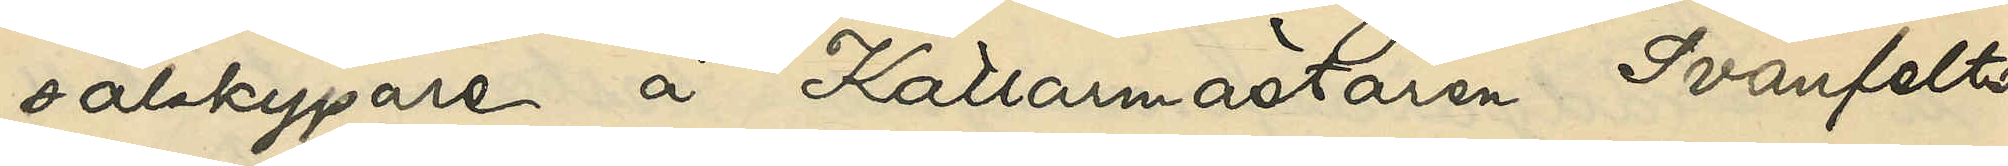salskypare å Källarmästaren Svanfelts
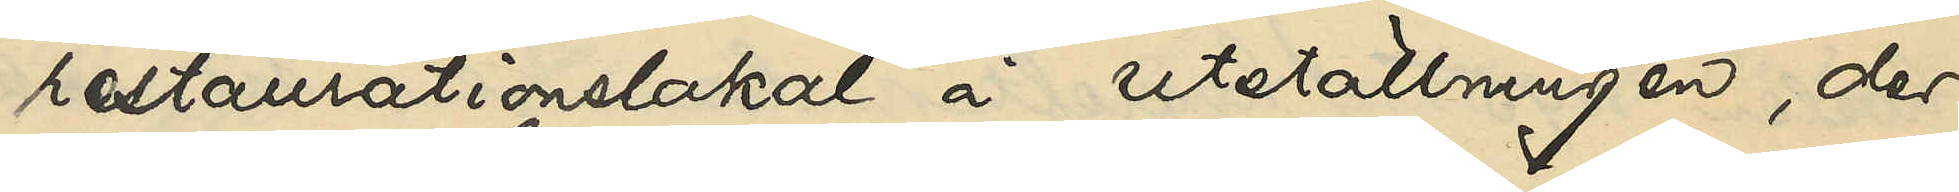restaurationslokal å Utställningen, der
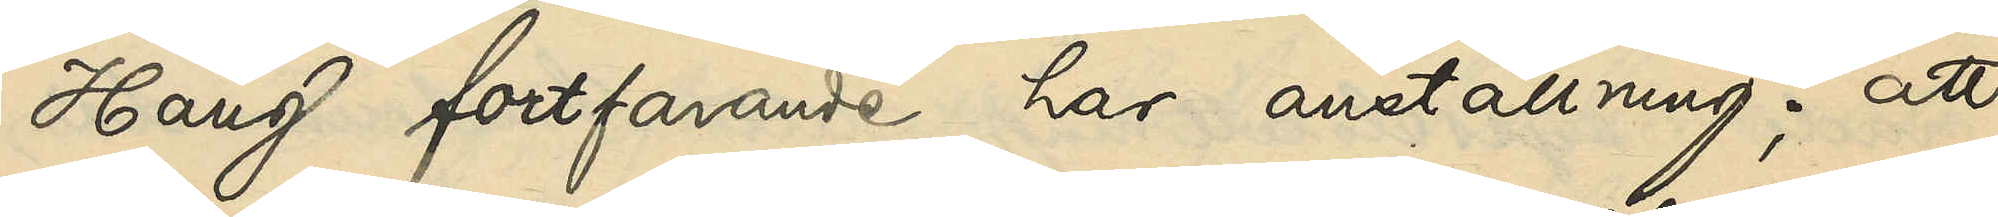Haug fortfarande har anställning; att
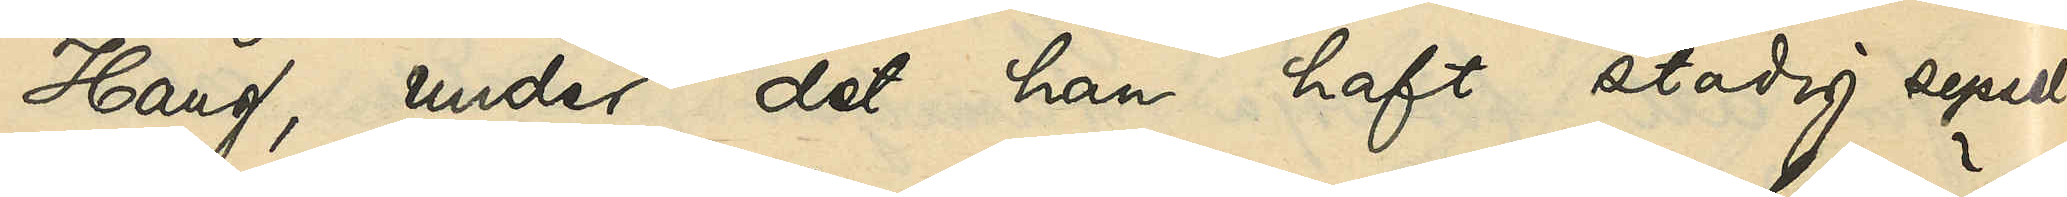Haug, under det han haft stadig syssel¬
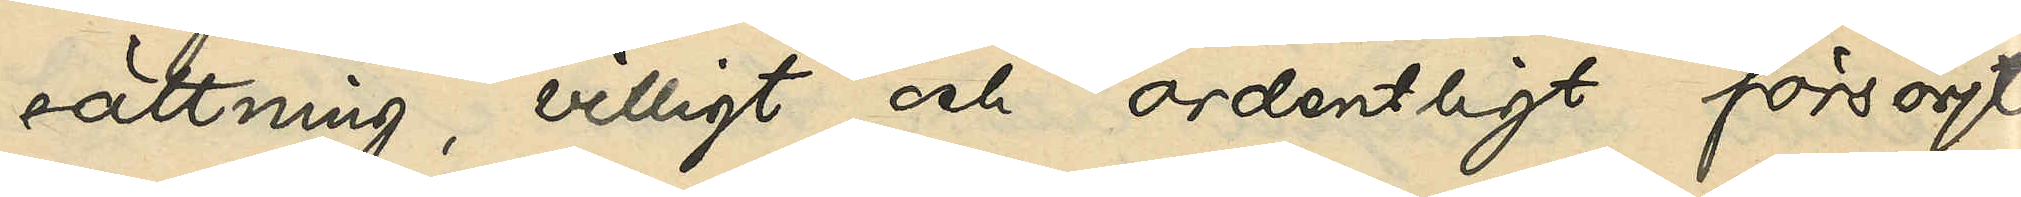sättning, villigt och ordentligt försörjt
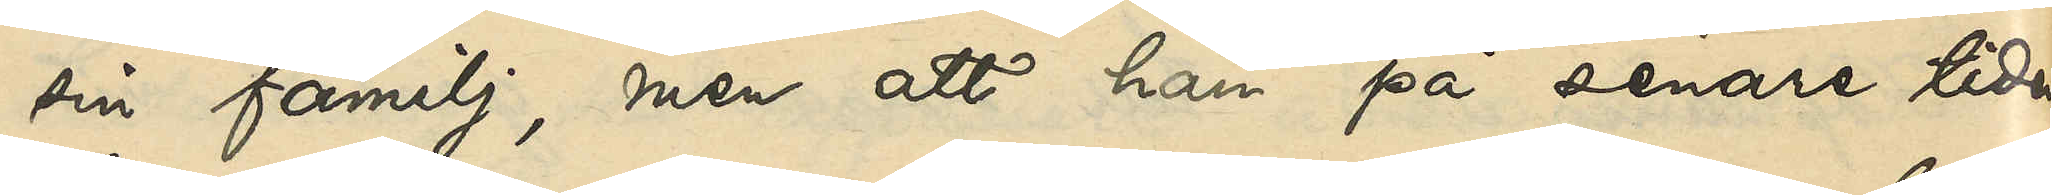sin familj, men att han på senare tiden
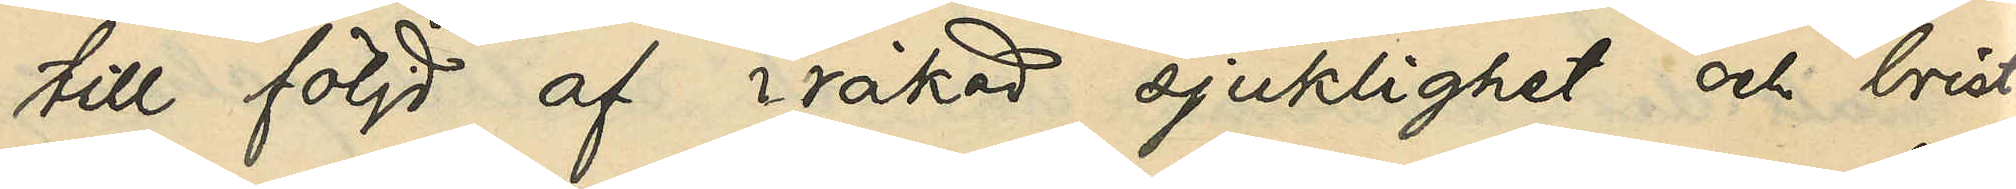till följd af iråkad sjuklighet och brist
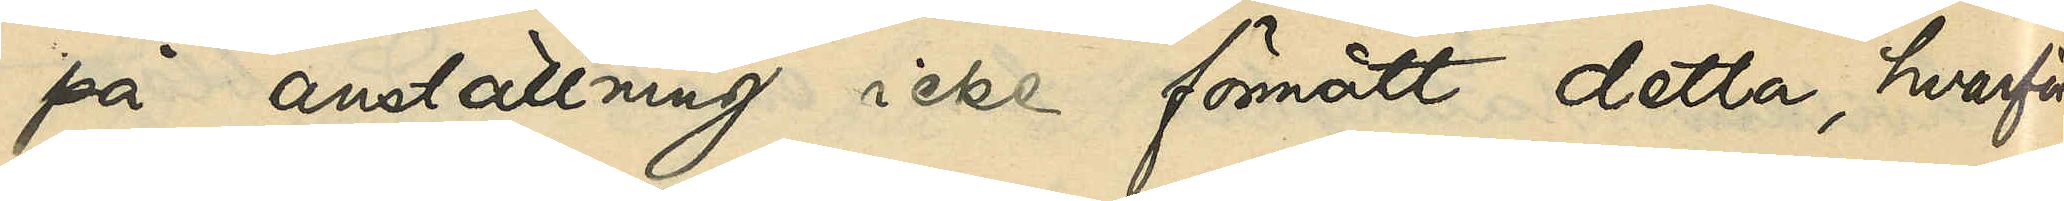på anställning icke förmått detta, hvarför
